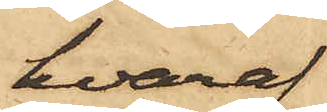hvaraf
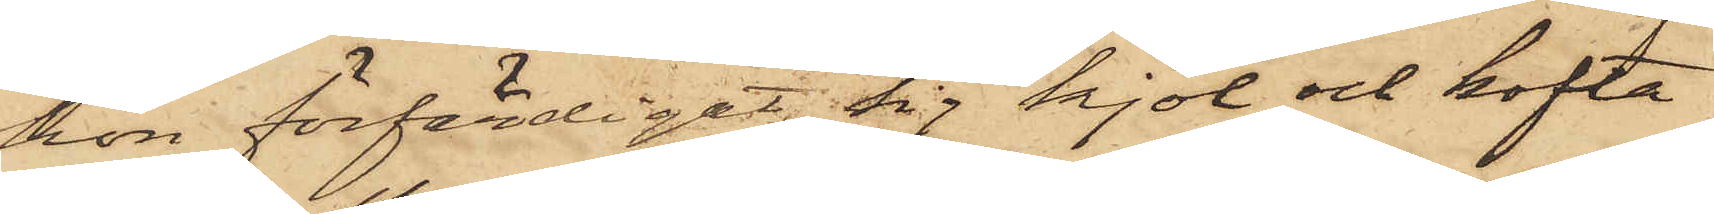hon förfärdigat sig kjol och kofta
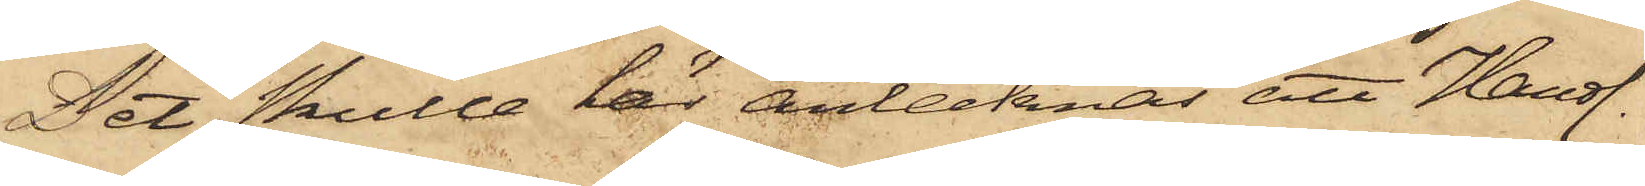Det skulle här antecknas att Handl.
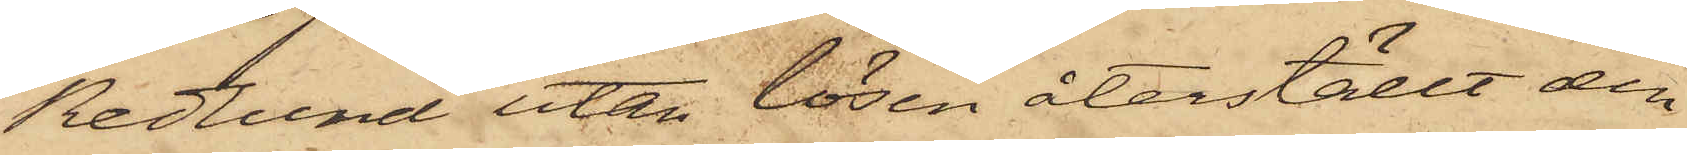Redlund utan lösen återställt den
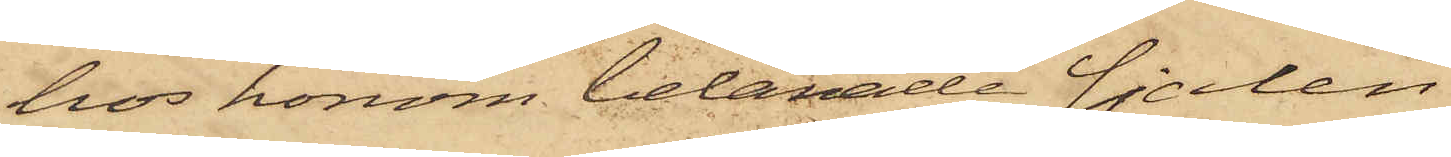hos honom belånade sjalen.
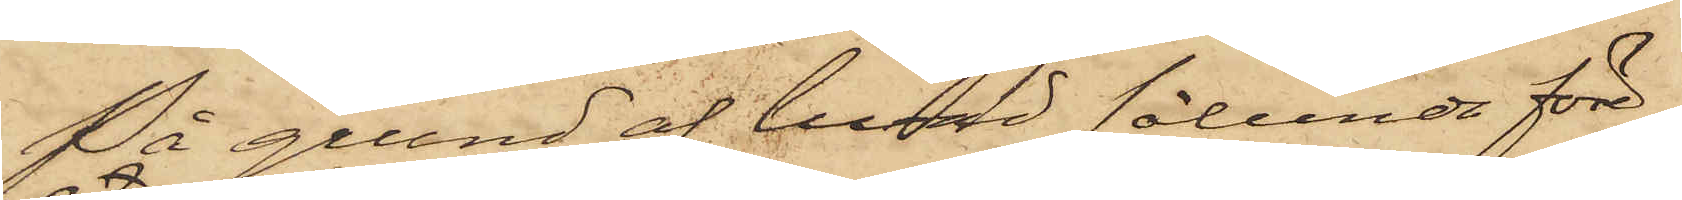På grund af hvad sålunda före-
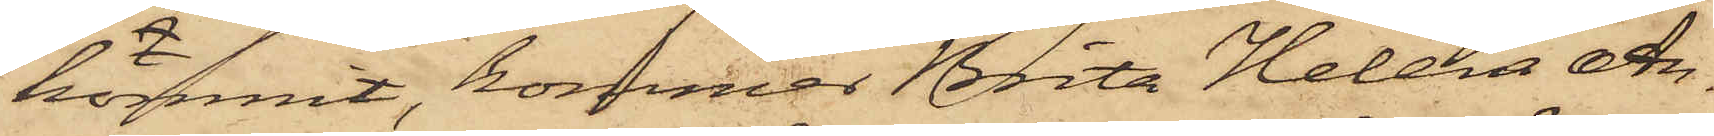kommit, kommer Brita Helena An¬
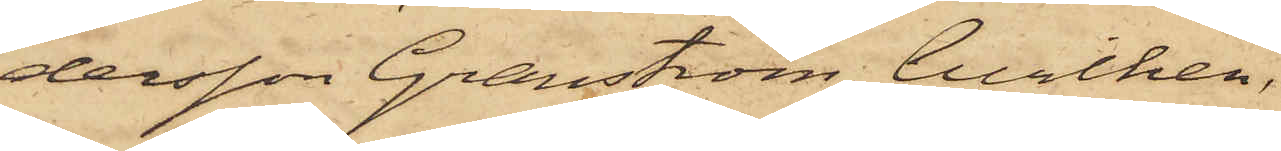dersson Granström, hvilken
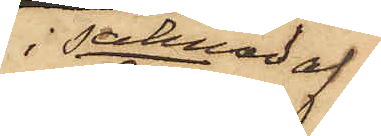i saknad af
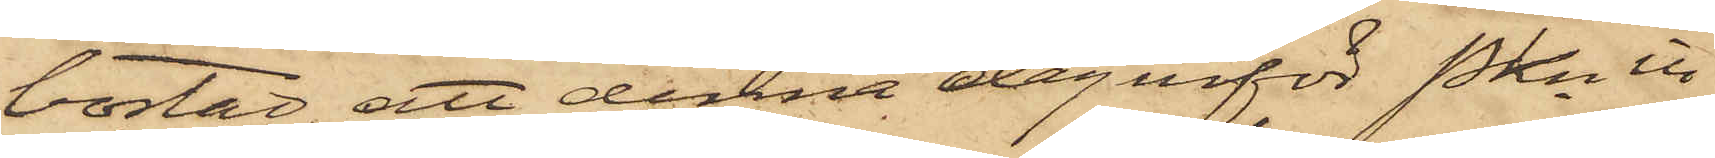bostad, att denna dag inför Pkn in¬
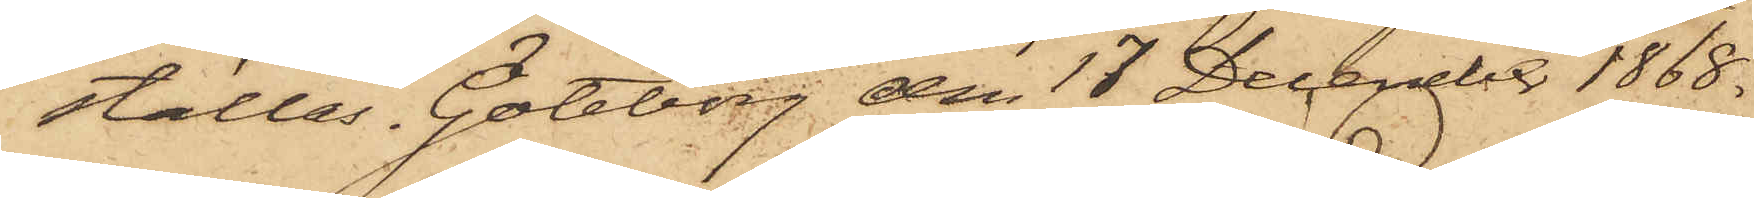ställas. Göteborg den 17 December 1868.
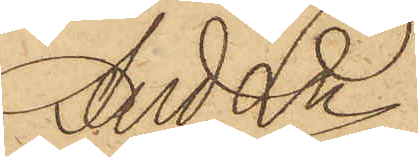And. Ln.
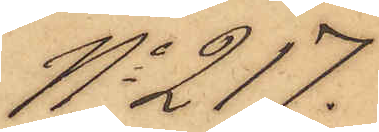No 217.
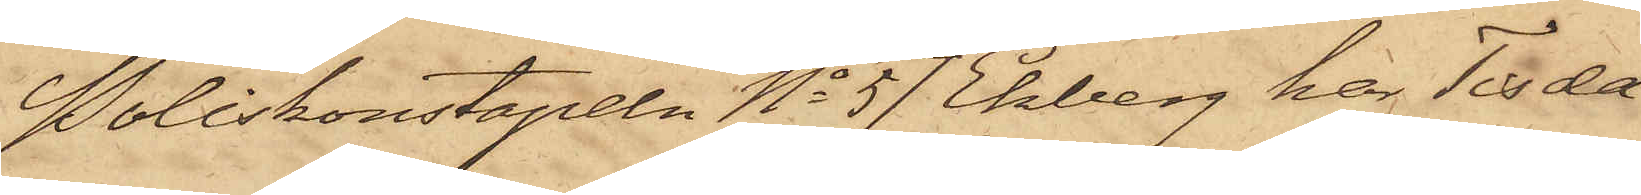Poliskonstapeln No 57 Ekberg har Tisda¬
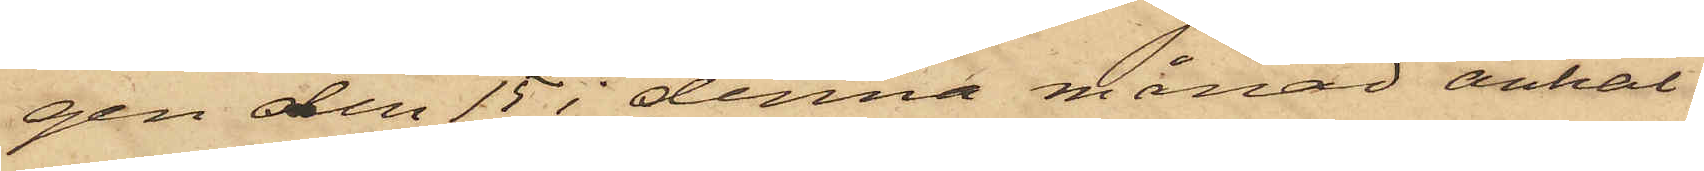gen den 15 i denna månad anhål¬
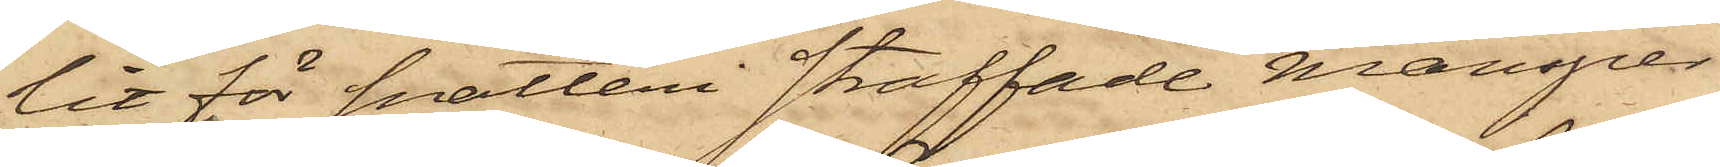lit för snatteri straffade mansper¬
